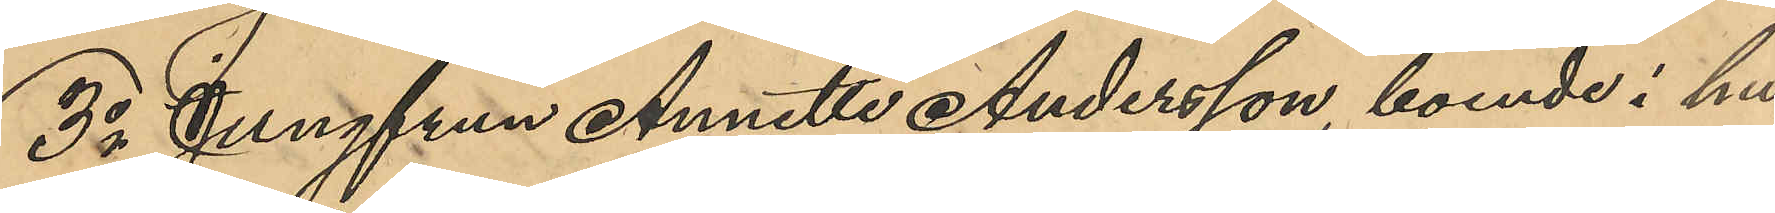3o Jungfrun Annette Andersson, boende i hu¬
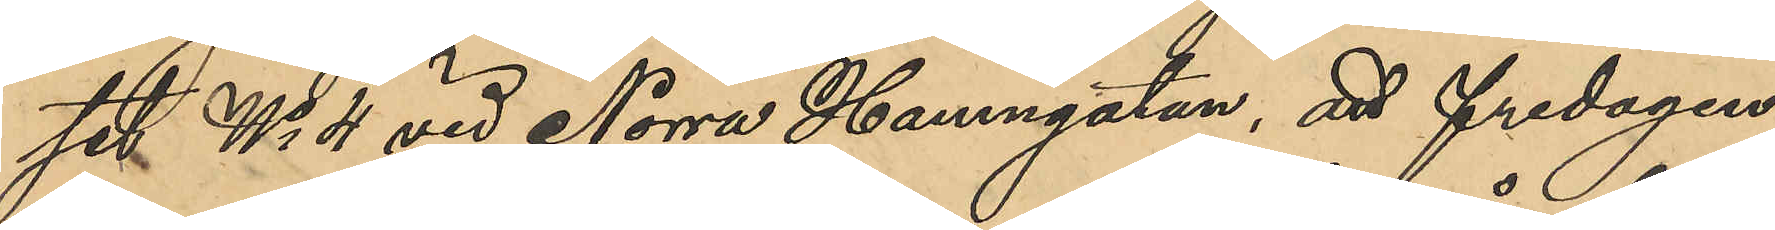set No 4 vid Norra Hamngatan, att fredagen
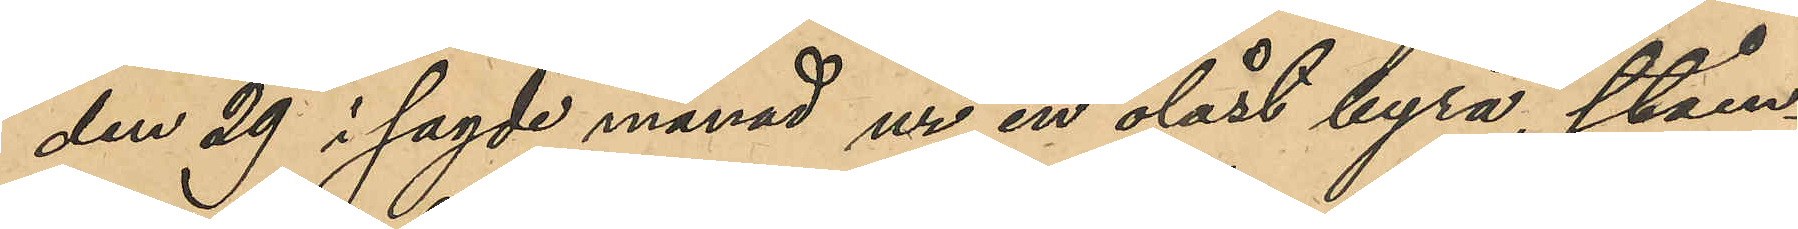den 29 i sagde månad ur en olåst byrå, ståen¬
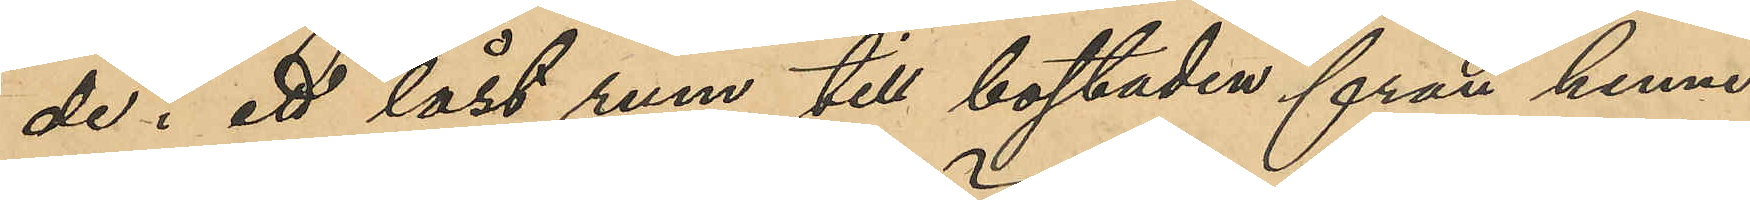de i ett låst rum till bostaden från henne
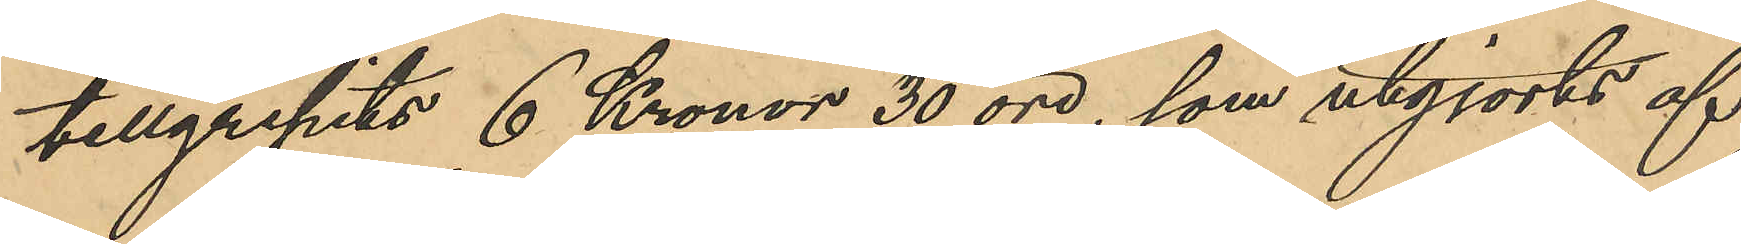tillgripits 6 Kronor 30 öre, som utgjorts af
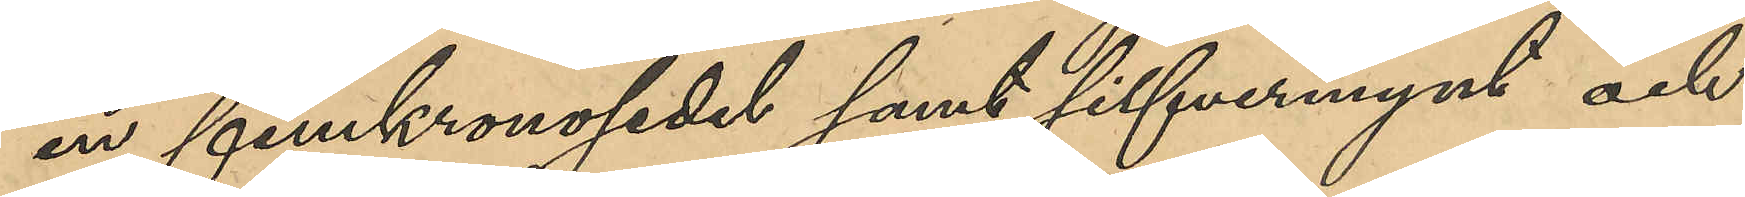en femkronosedel samt silfvermynt och
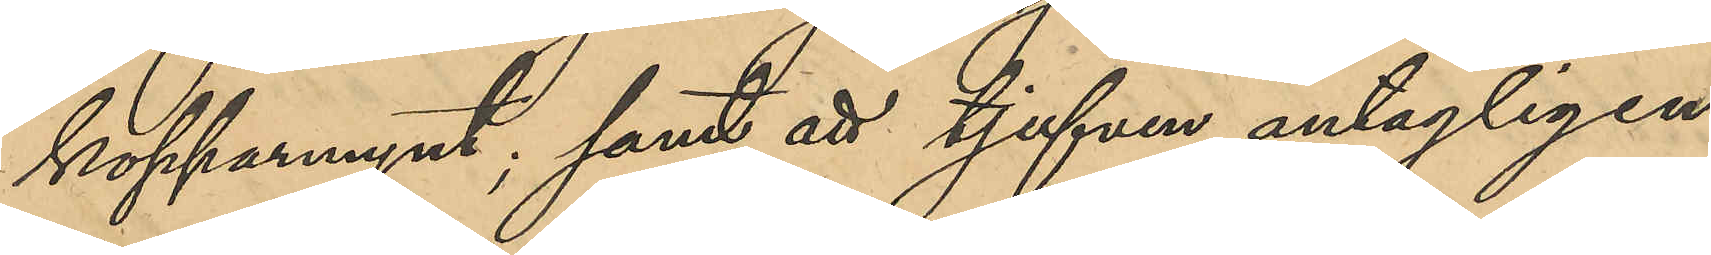kopparmynt; samt att tjufven antagligen
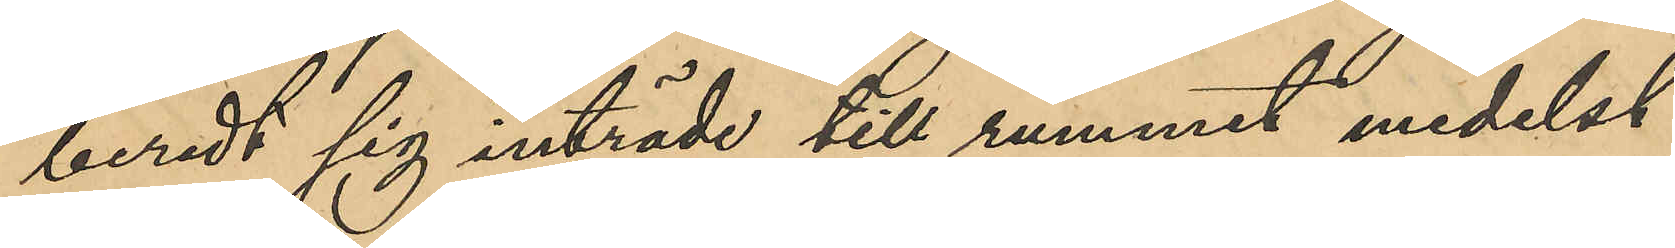beredt sig inträde till rummet medelst
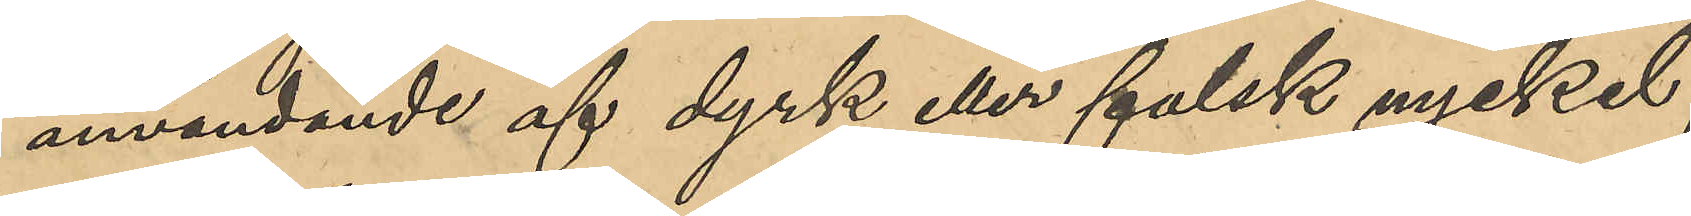användande af dyrk eller falsk nyckel;
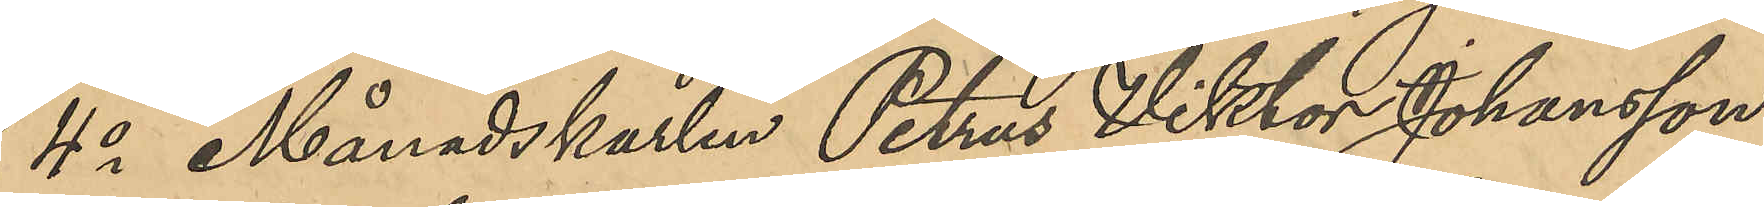4o Månadskarlen Petrus Viktor Johansson,
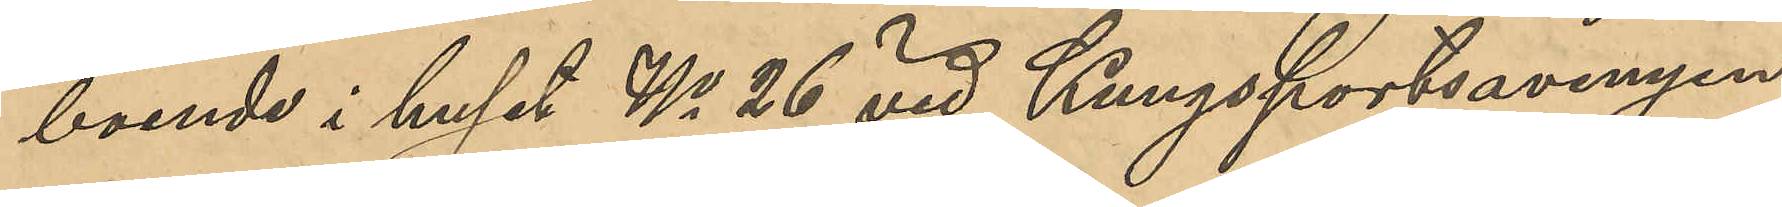boende i huset No 26 vid Kungsportsavenyen:
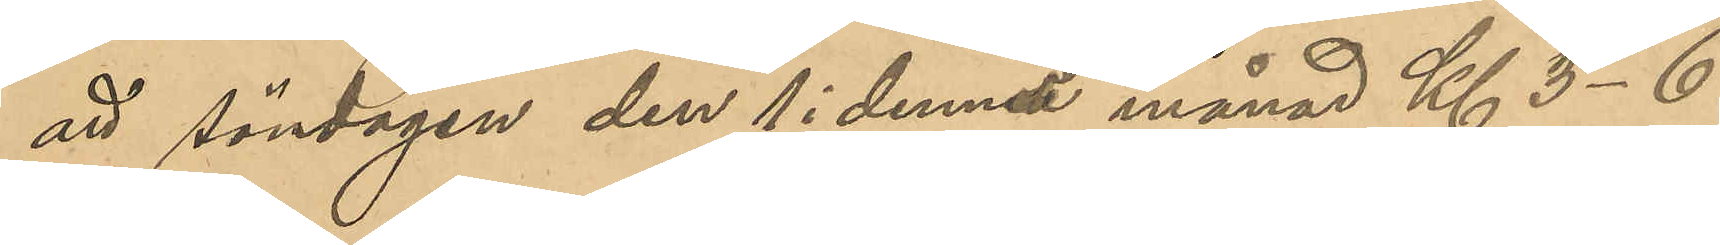att söndagen den 1 i denna månad Kl 3-6
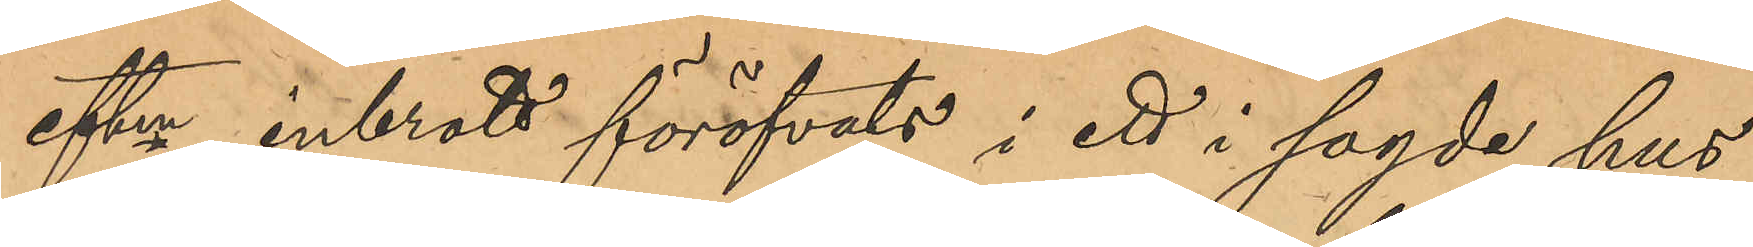eftm inbrott föröfvats i ett i sagde hus
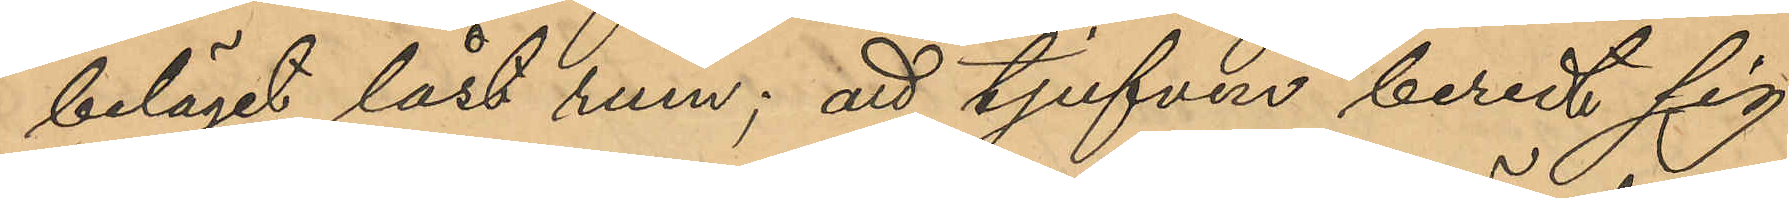beläget låst rum; att tjufven beredt sig
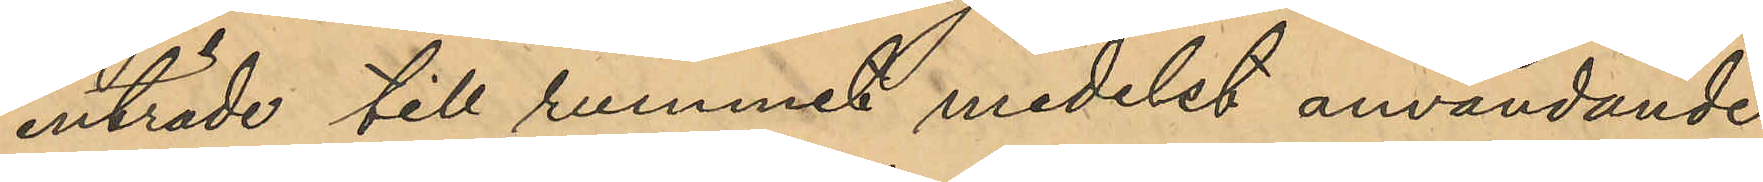inträde till rummet medelst användande
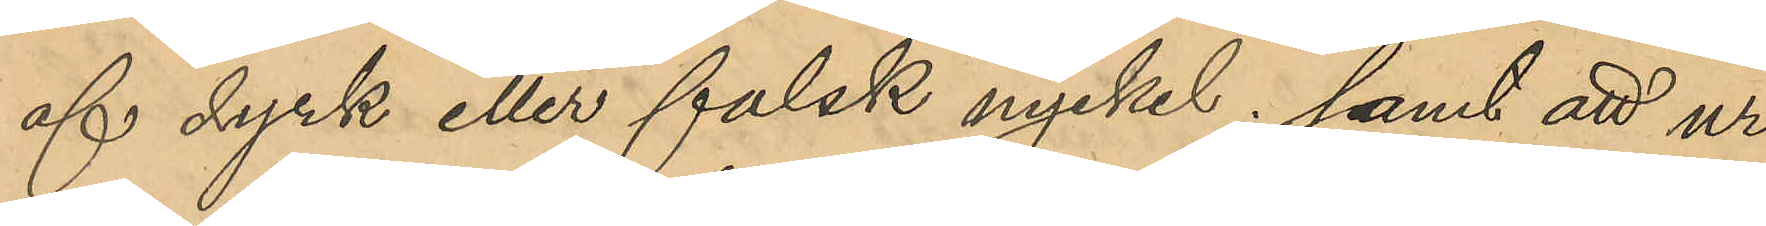af dyrk eller falsk nyckel; samt att ur
